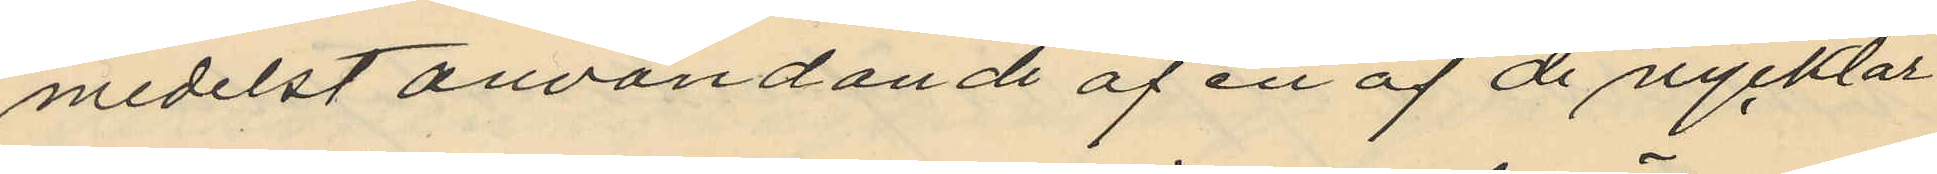medelst användande af en af de nycklar
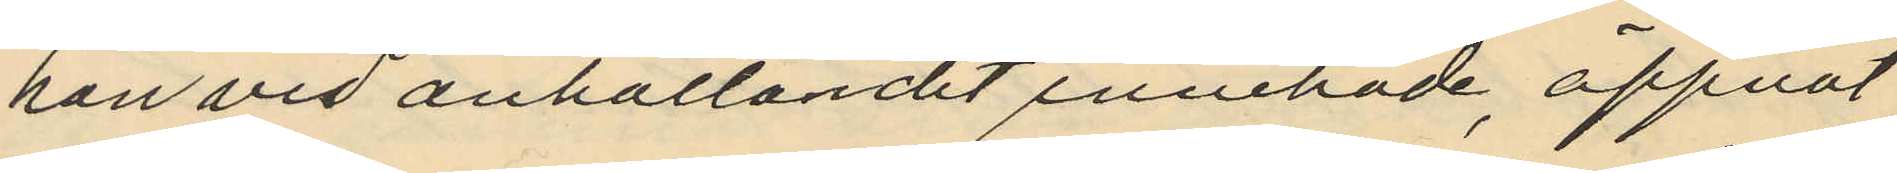han vid anhållandet innehade, öppnat
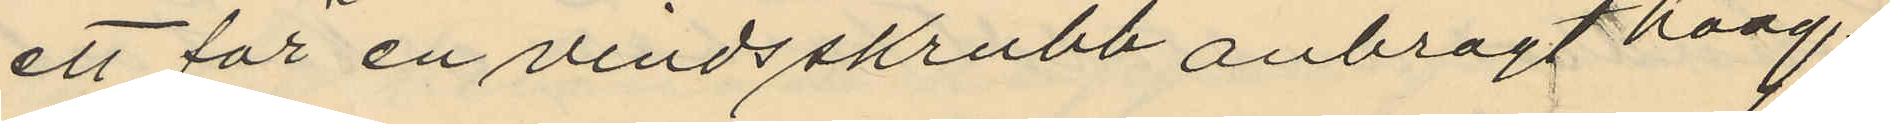ett för en vindsskrubb anbragt häng¬
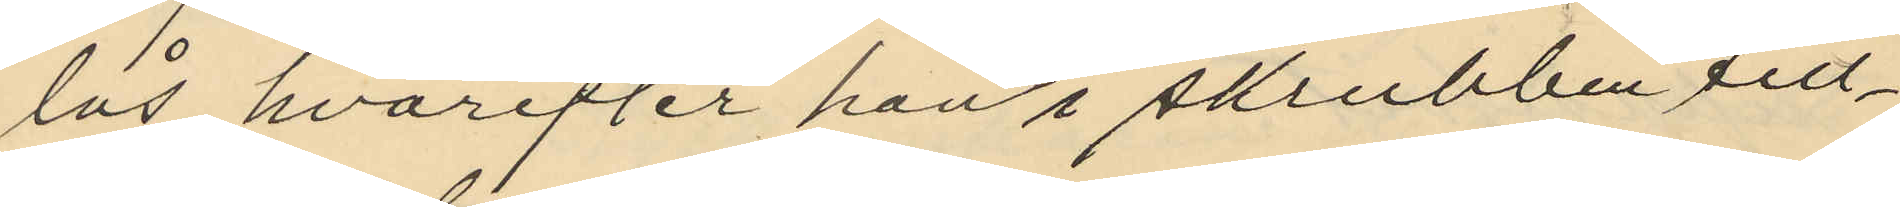lås, hvarefter han i skrubben till¬
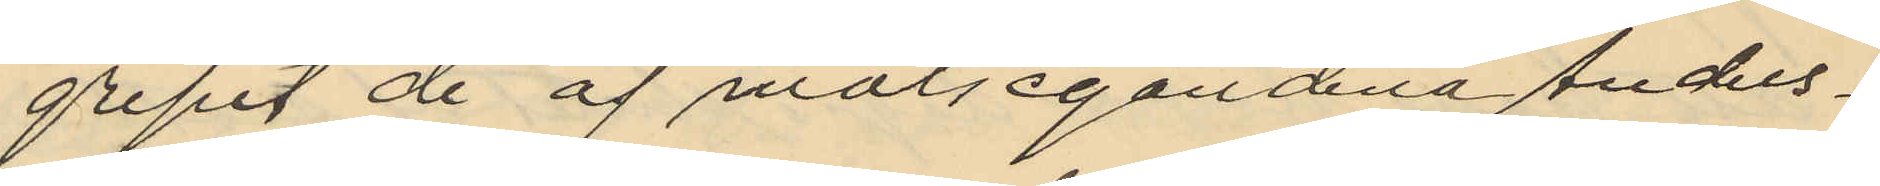gripit de af målsegandena Anders¬
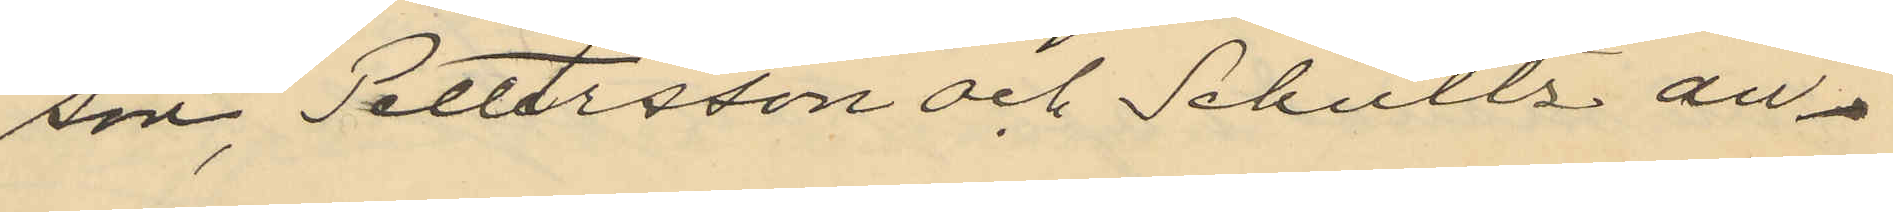son, Pettersson och Schultz an¬
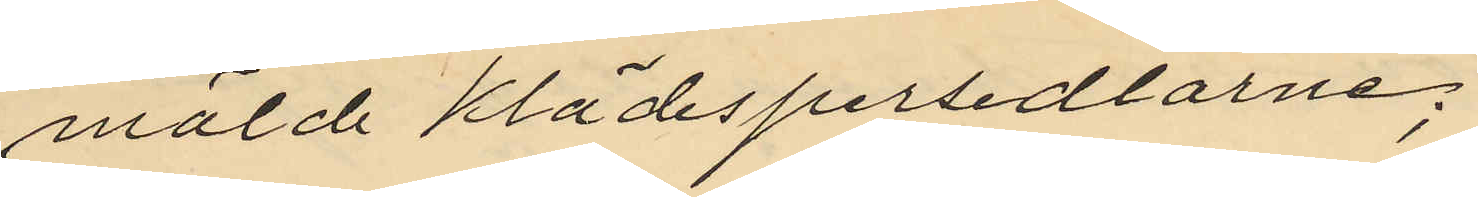mälde klädespersedlarne;
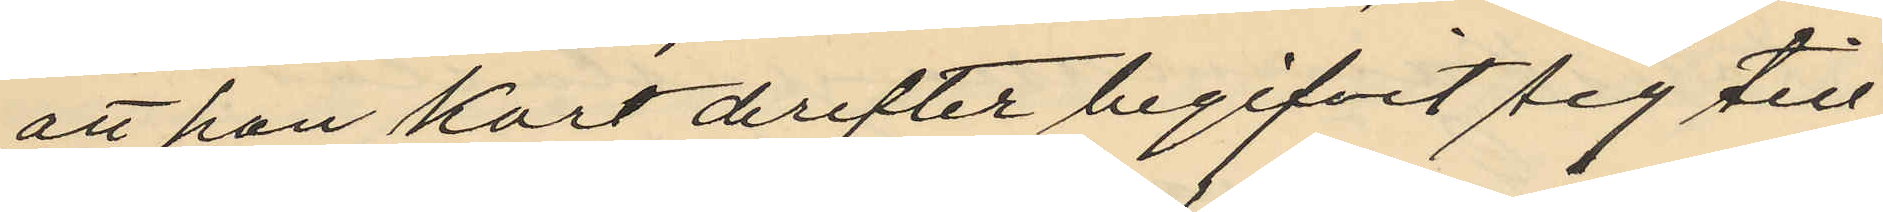att han kort derefter begifvit sig till
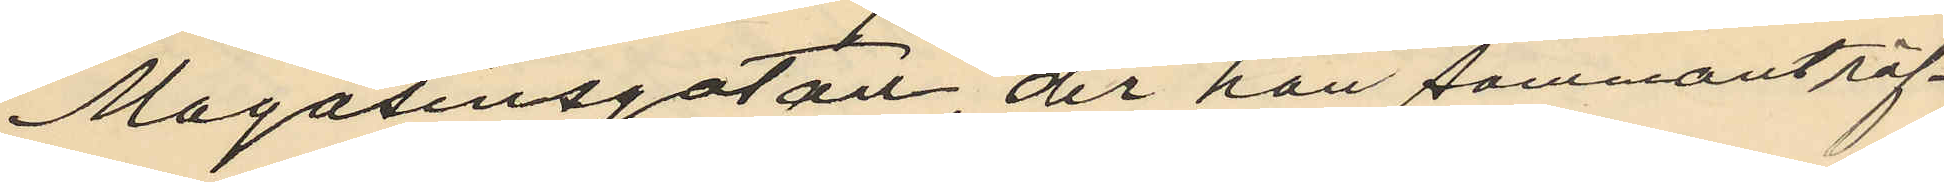Magasinsgatan der han sammanträf¬
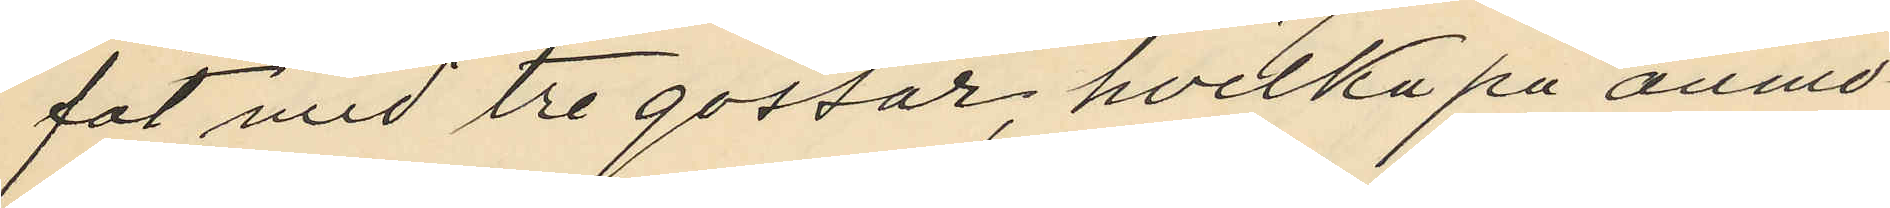fat med tre gossar, hvilka på anmo¬
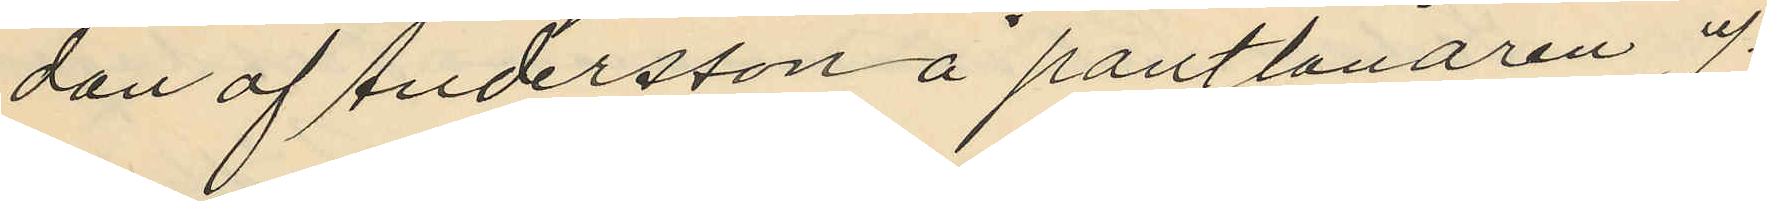dan af Andersson å pantlånaren J.
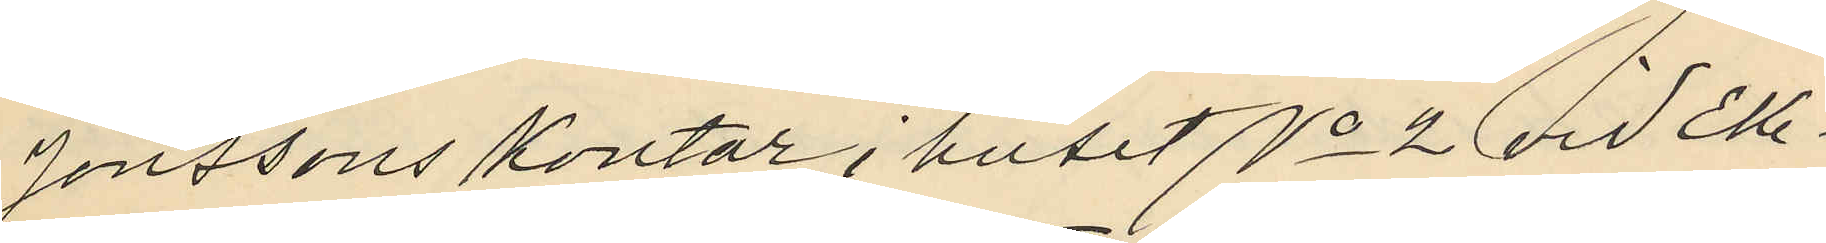Jonssons kontor i huset No 2 vid Eke¬
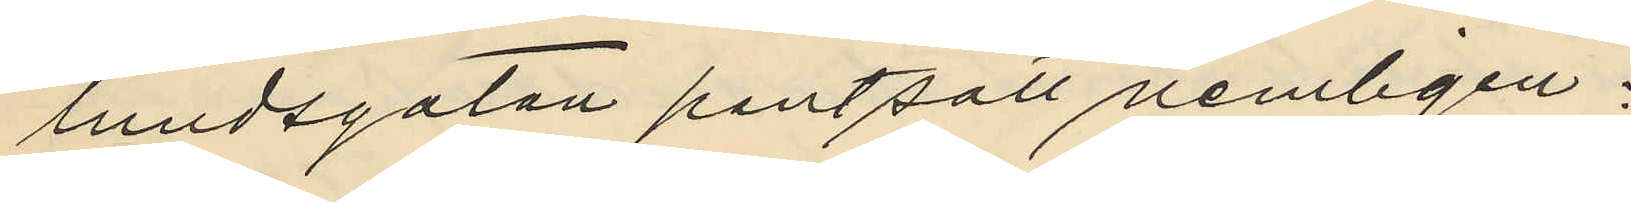lundsgatan pantsatt nemligen:
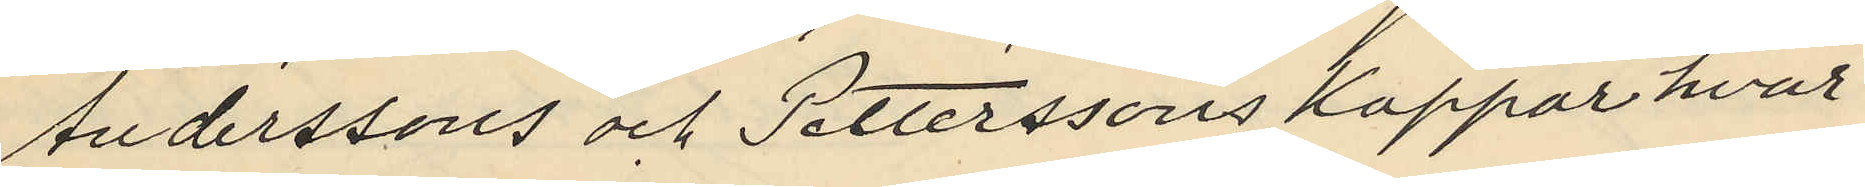Anderssons och Petterssons kappor hvar
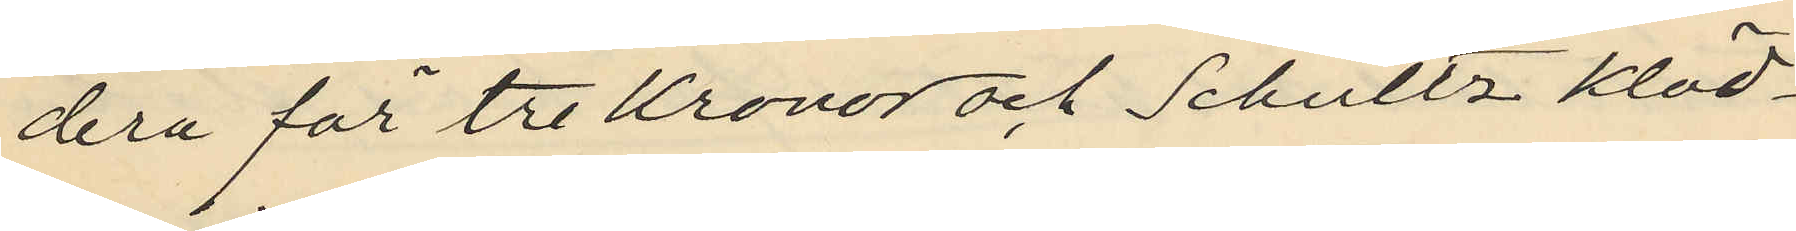dera för tre kronor och Schultz kläd¬
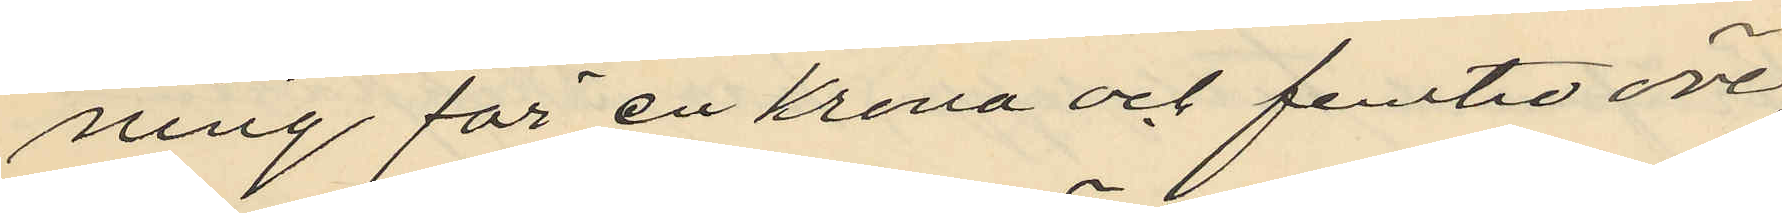ning för en krona och femtio öre
